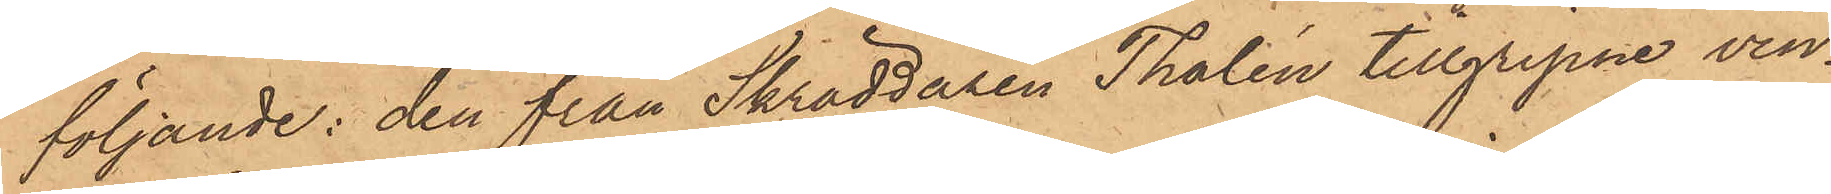följande: den från Skräddaren Thalén tillgripne vin¬
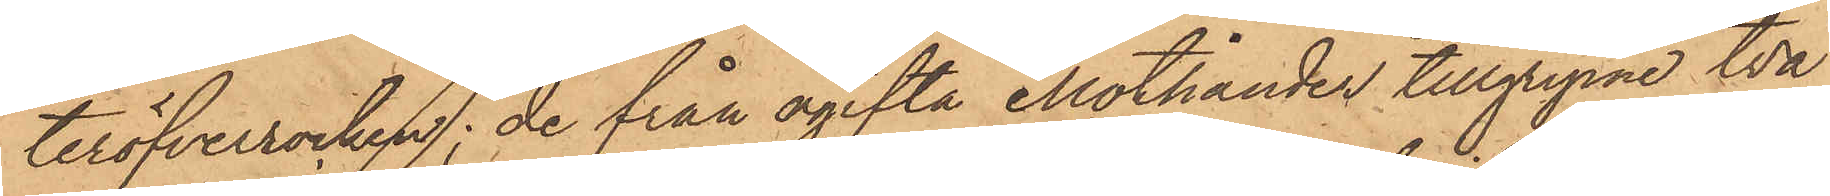teröfverrocken, de från ogifta Mothander tillgripne två
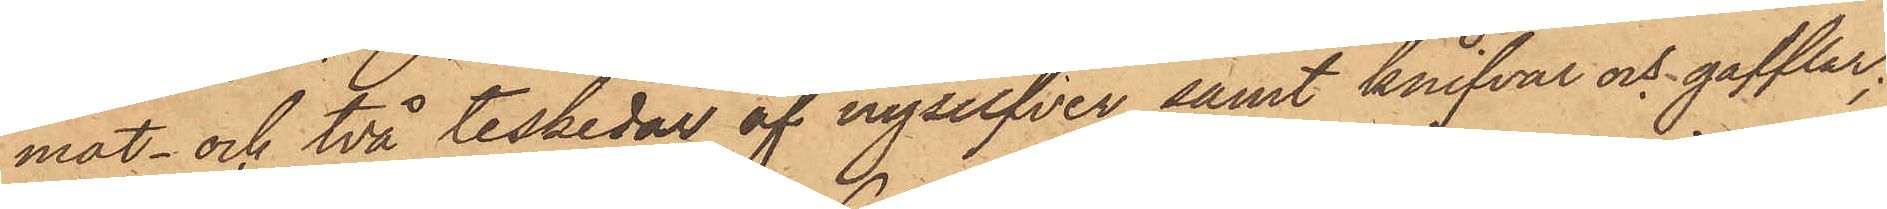mat- och två teskedar af nysilfver samt knifvar och gafflar;
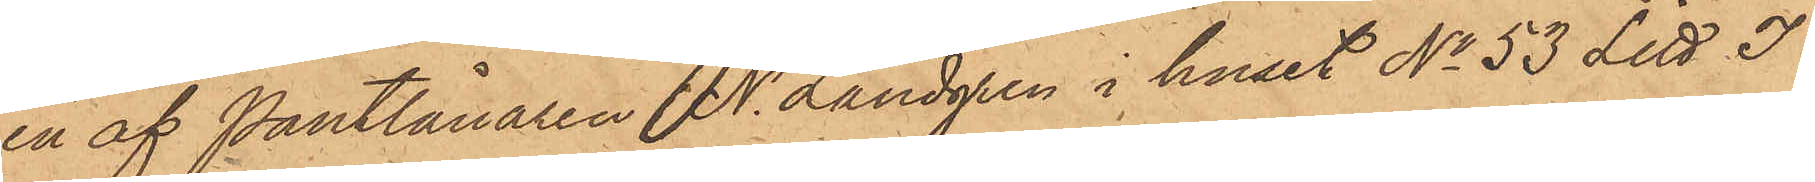en af Pantlånaren N. Landgren i huset No 53 Litt J
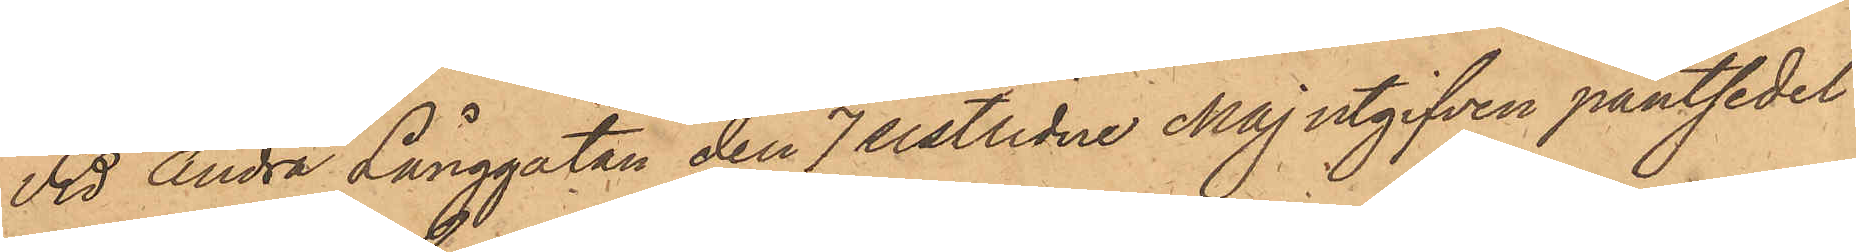vid Andra Långgatan den 7 sistlidne Maj utgifven pantsedel
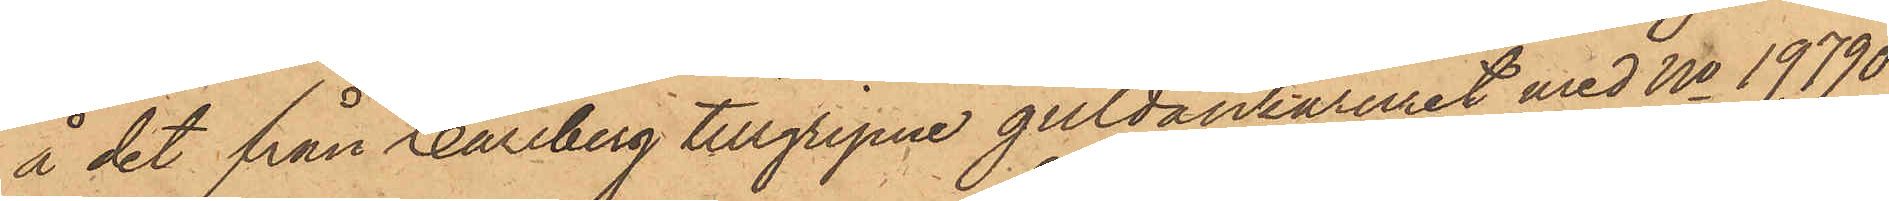å det från Hallberg tillgripne guldankaruret med No 19790
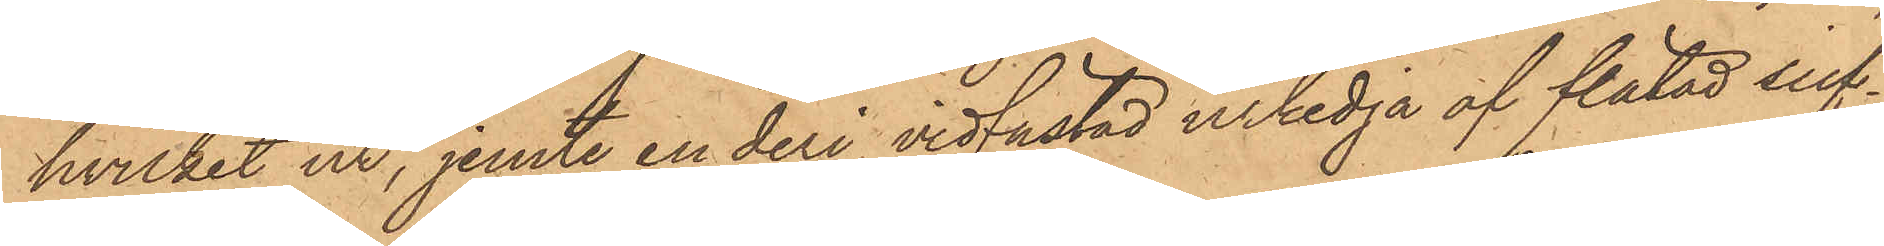hvilket ur, jemte en deri vidfästad urkedja af flätad silf¬
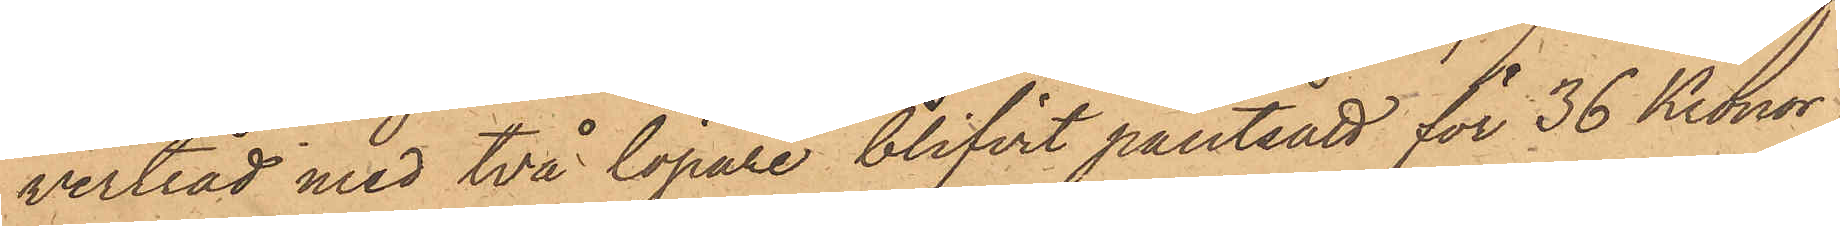vertåd med två löpare blifvit pantsatt för 36 Kronor;
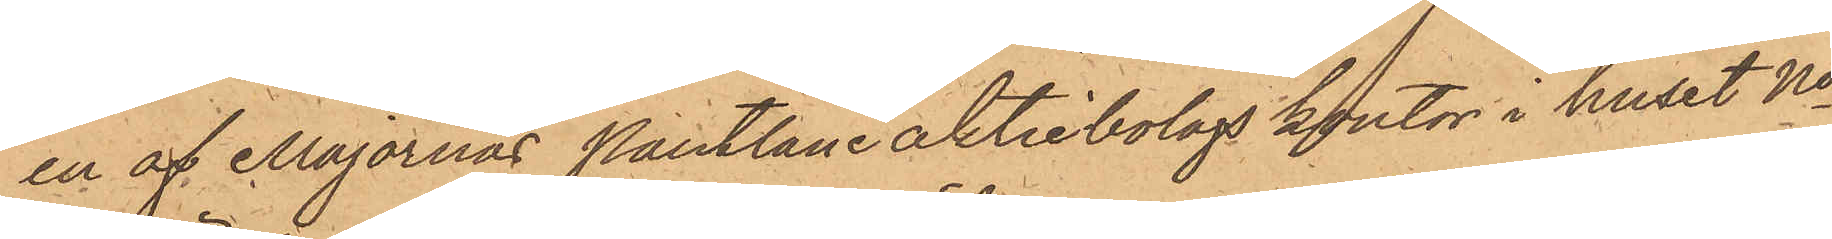en af Majornas Pantlåne aktiebolags kontor i huset No
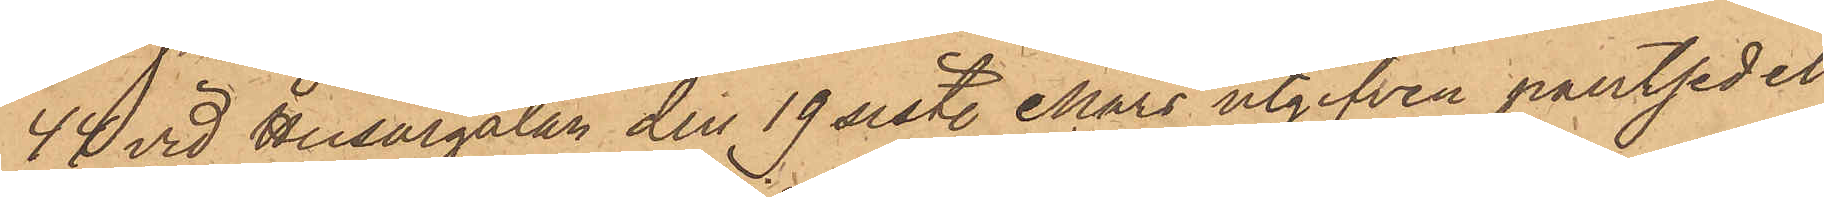44 vid Husargatan den 19 sist. Mars utgifven pantsedel
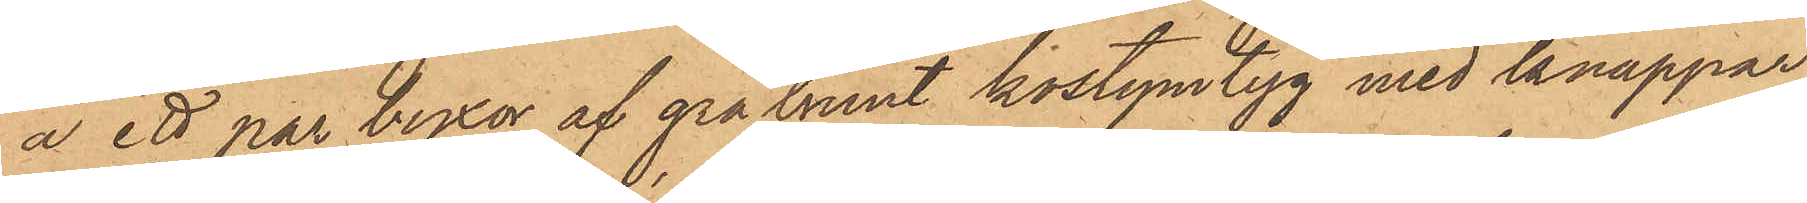å ett par byxor af grå brunt kostymtyg med knappar,
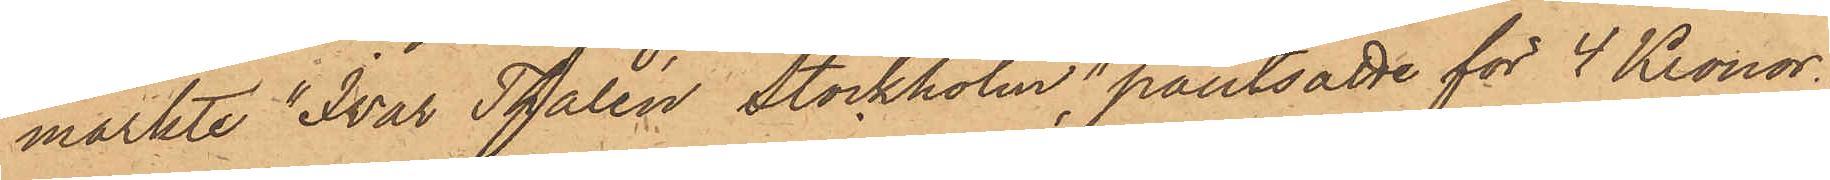märkte "Ivar Thalén, Stockholm", pantsatte för 4 Kronor.
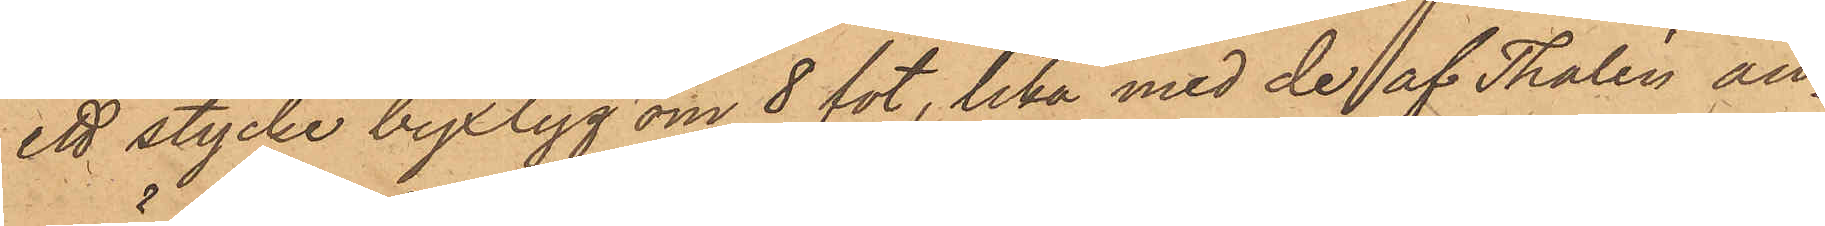ett stycke byxtyg om 8 fot, lika med de af Tholén an¬
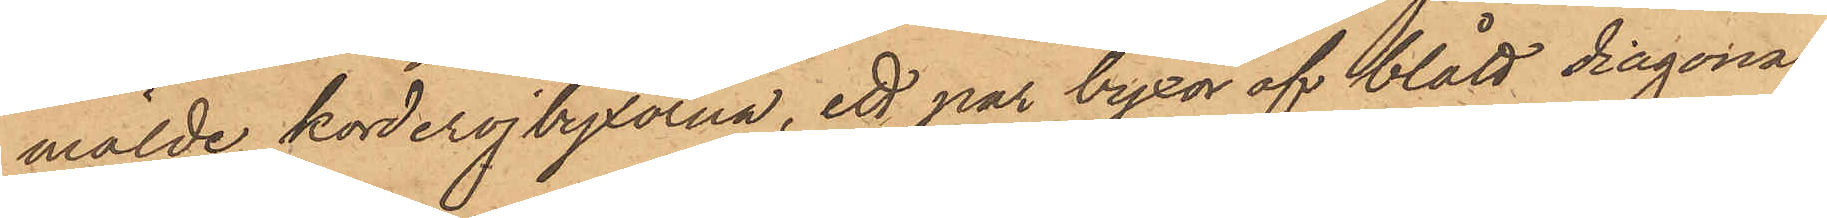mälde korderojbyxorna, ett par byxor af blått diagonal¬
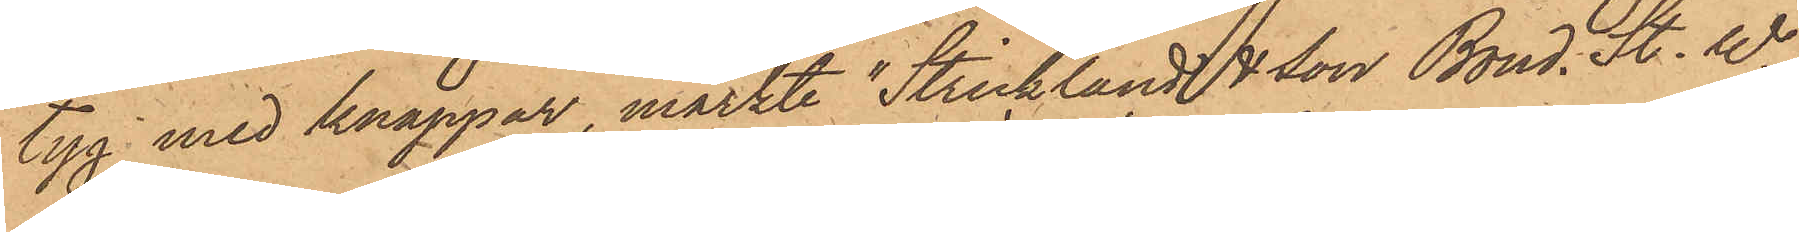tyg med knappar, märkte "Stricklands & Son Bond. St. W",
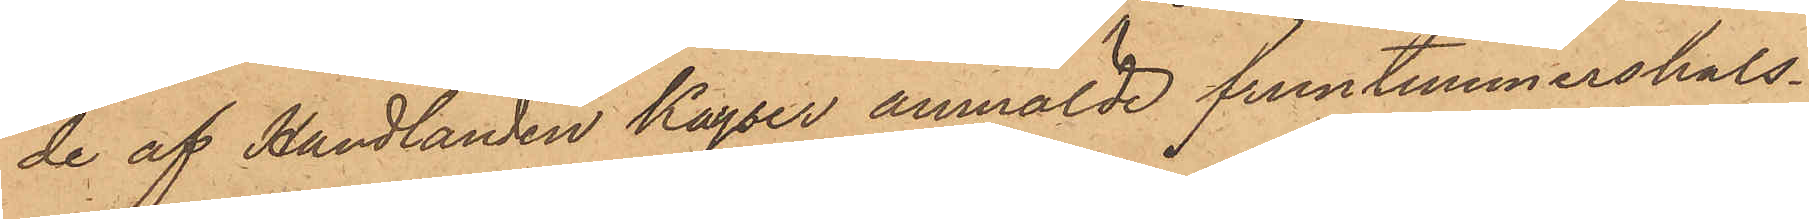de af Handlanden Kayser anmälde fruntimmershals¬
